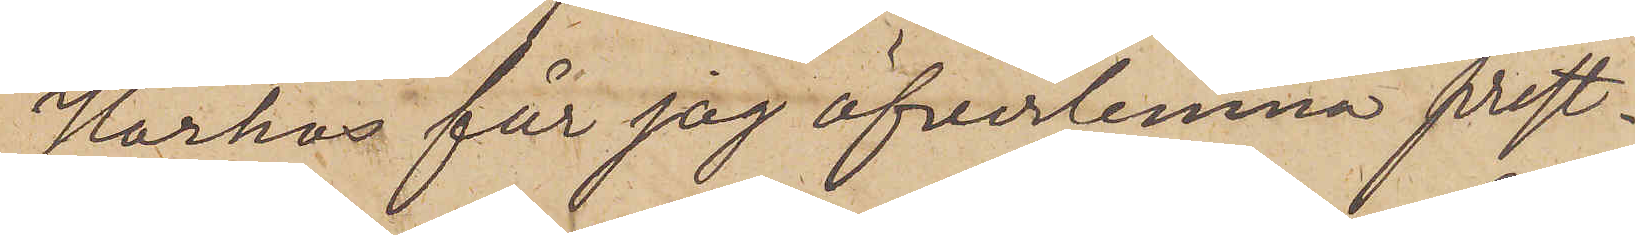Härhos får jag öfverlemna prest¬
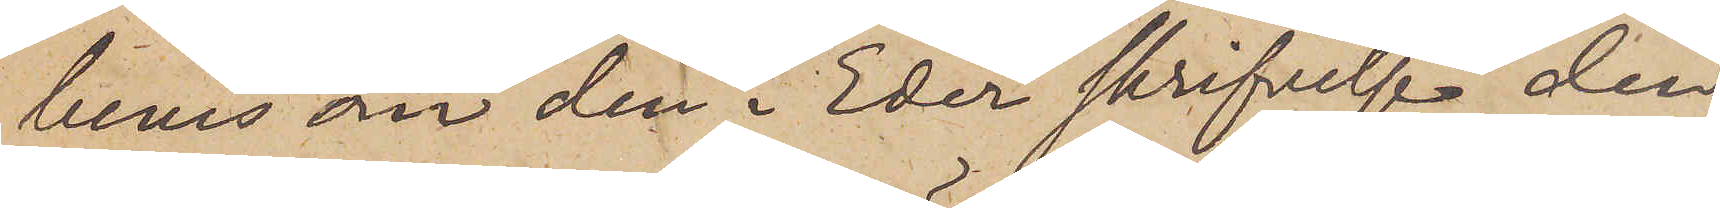bevis om den i Eder skrifvelse den
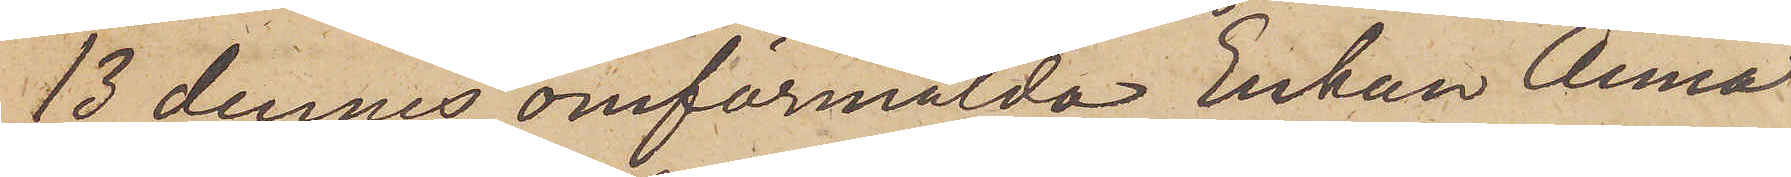13 dennes omförmälda Enkan Anna
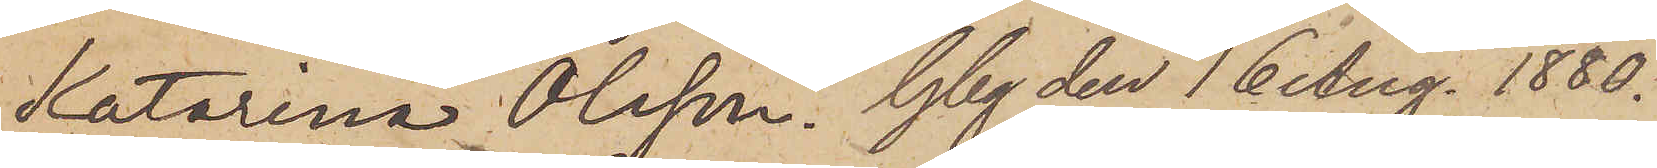Hatarina Olsson. Gbg den 16 Aug. 1880.
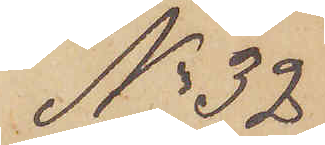No 32
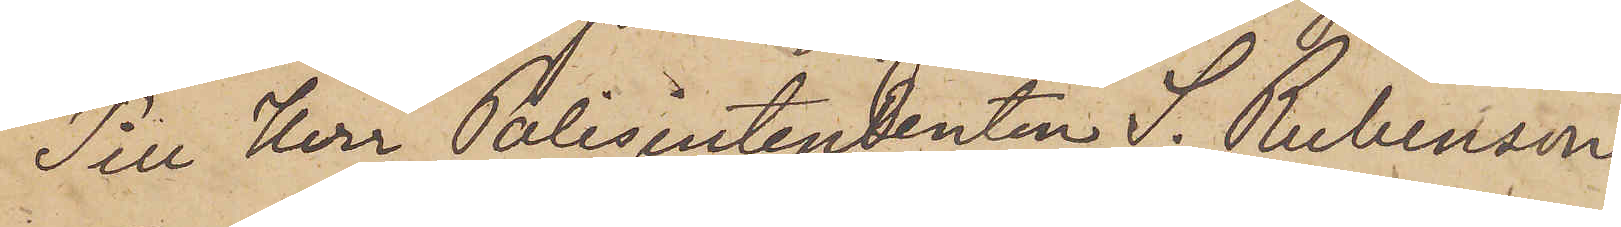Till Herr Polisintendenten S. Rubenson
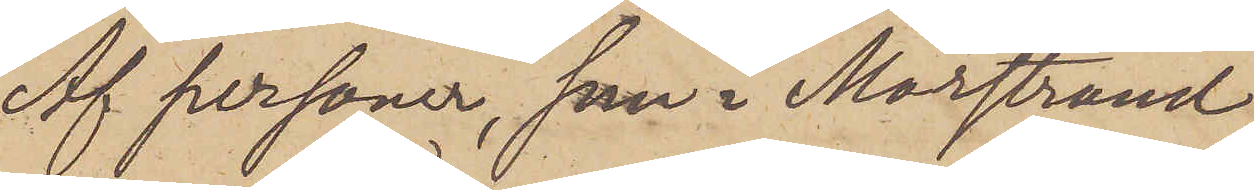Af personer, som i Marstrand
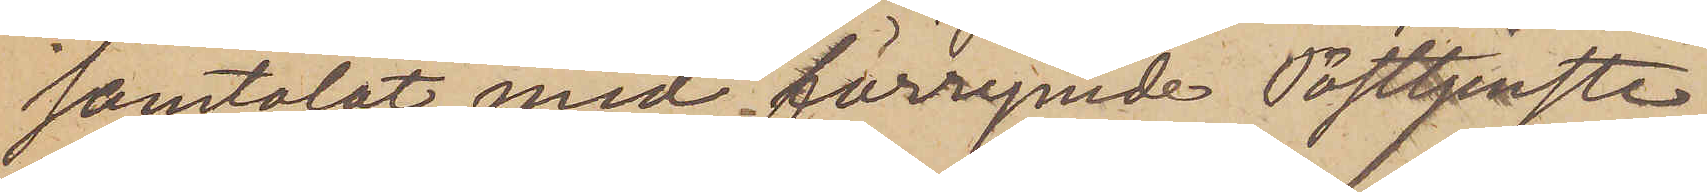samtalat med förrymde Posttjenste¬
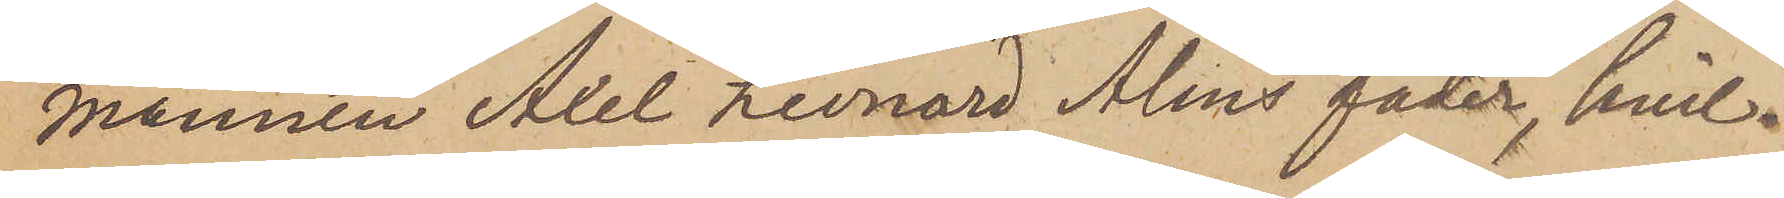mannen Axel Leonard Alins fader, hvil¬
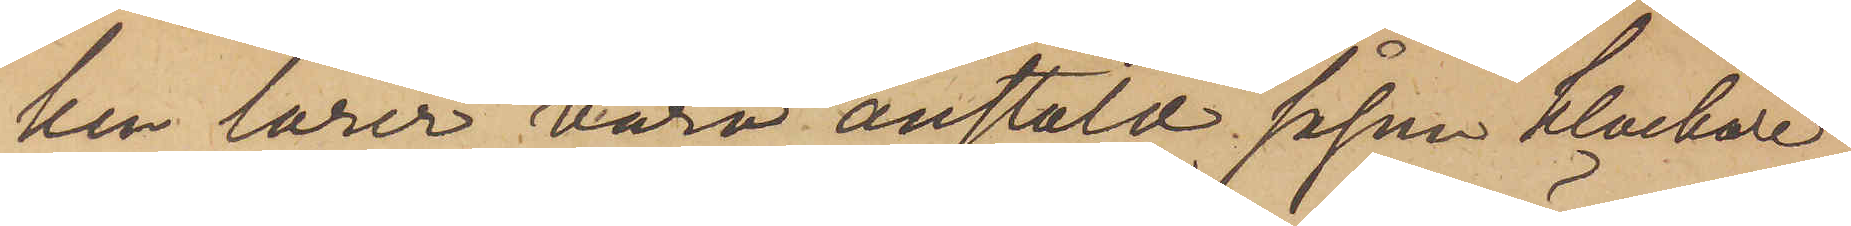ken lärer vara anstäld såsom klockare
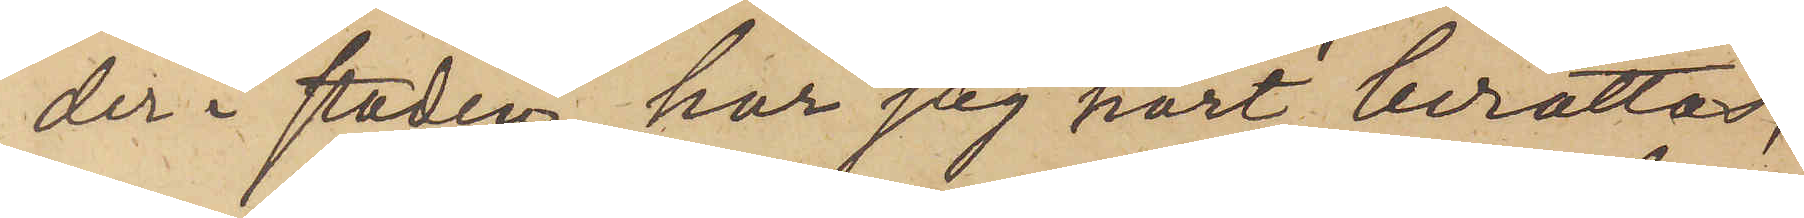der i staden, har jag hört berättas,
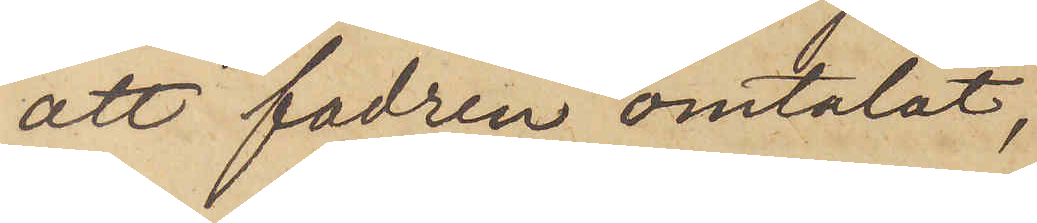att fadren omtalat,
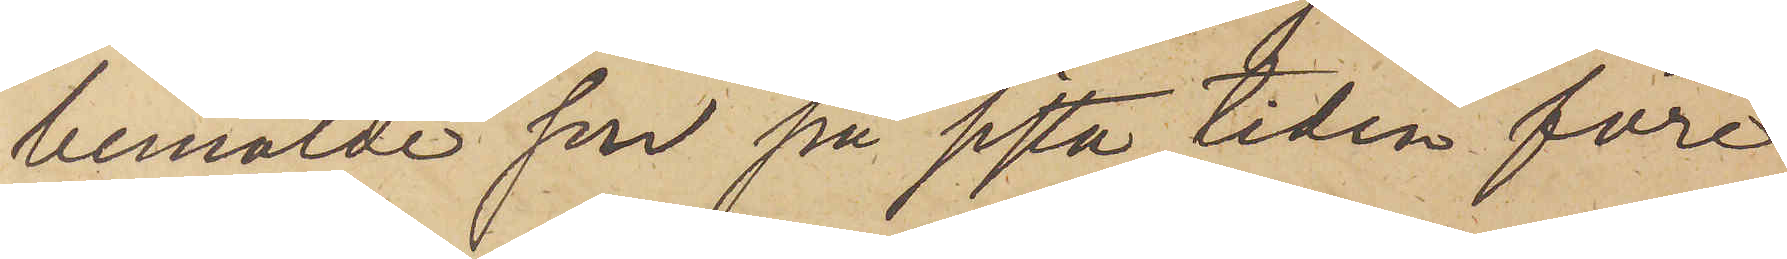bemälde son på sista tiden före
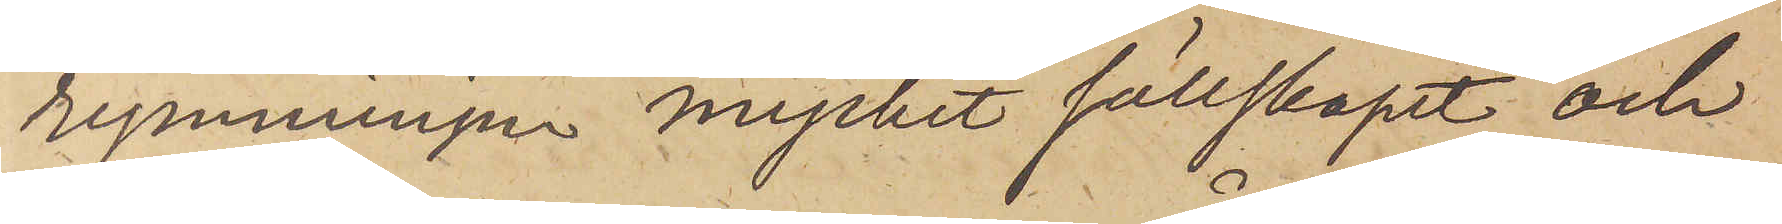rymningen mycket sällskapet och
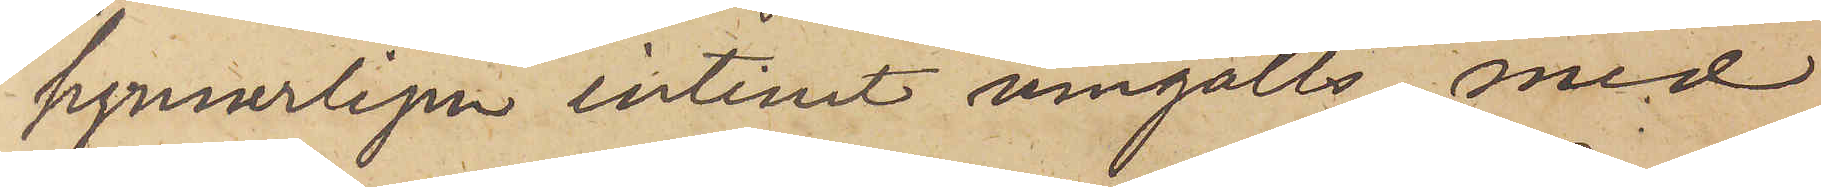synnerligen intimt umgåtts med
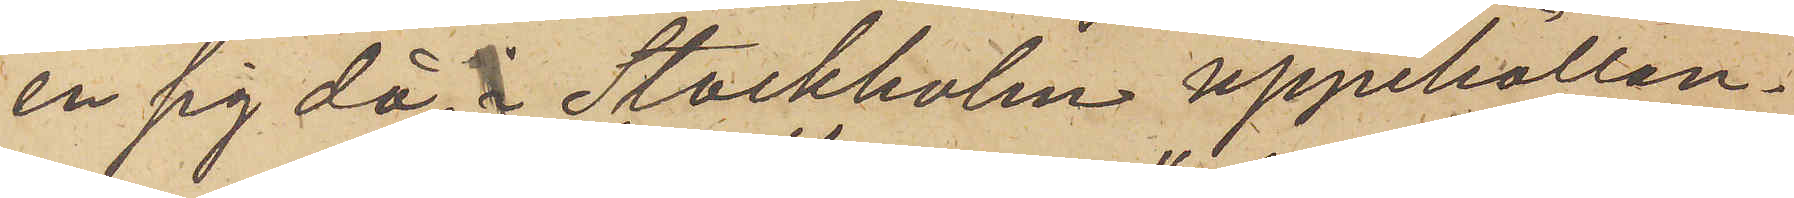en sig då i Stockholm uppehållan¬
